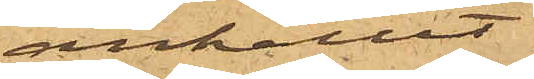anhållit
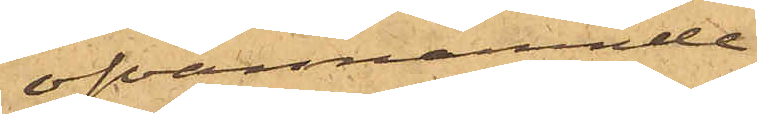ofvannämnde
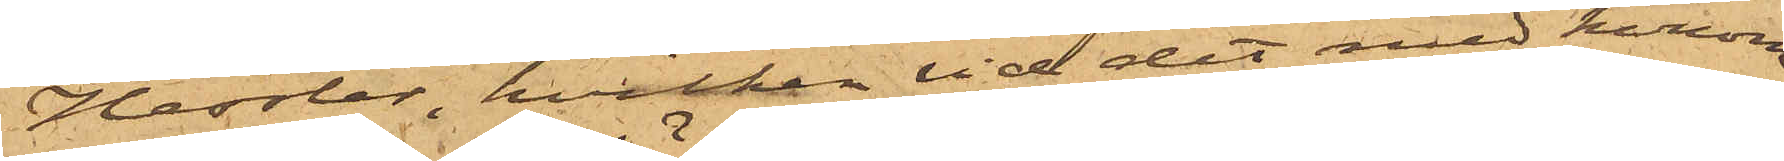Hessler, hvilken vid det med honom
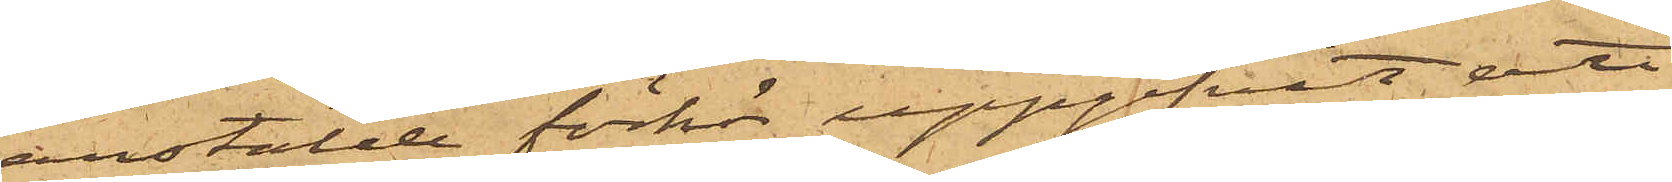anstälde förhör uppgifvit, att
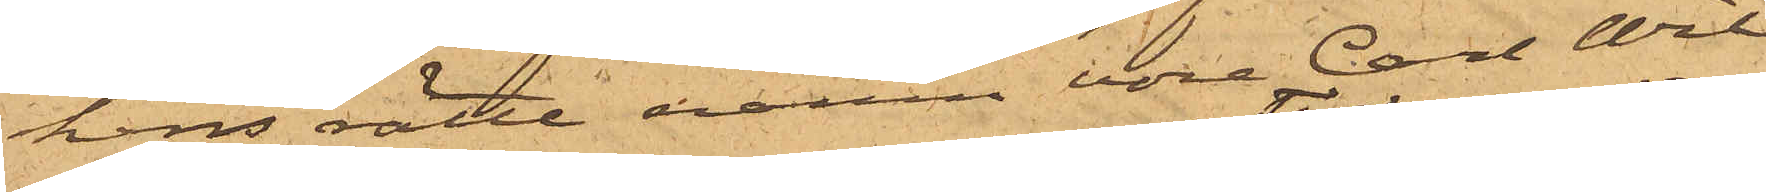hans rätte namn vore Carl Wil¬
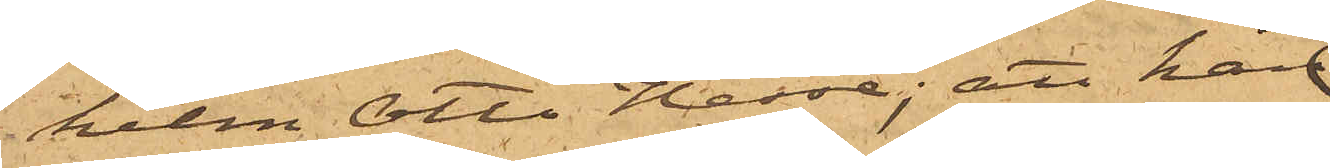helm Otto Hesse; att han
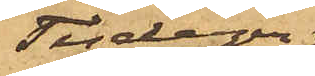Tisdagen
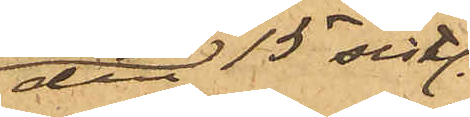den 15 sist.
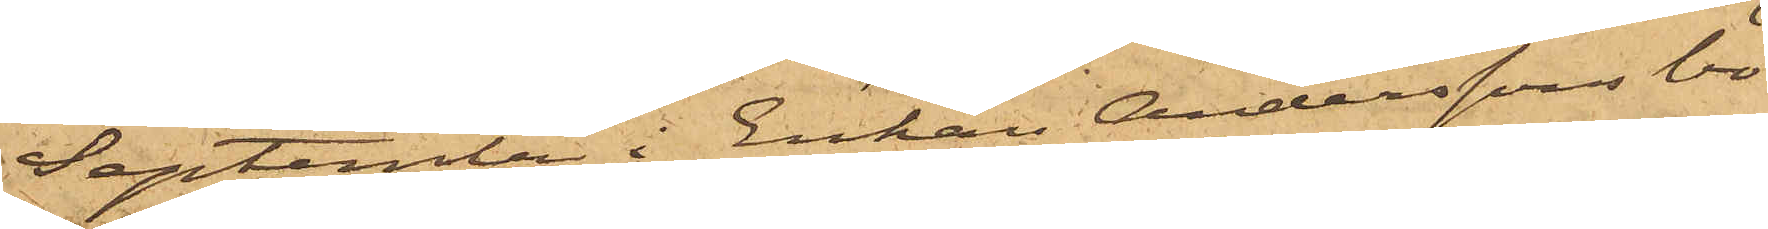September i Enkan Anderssons bo¬
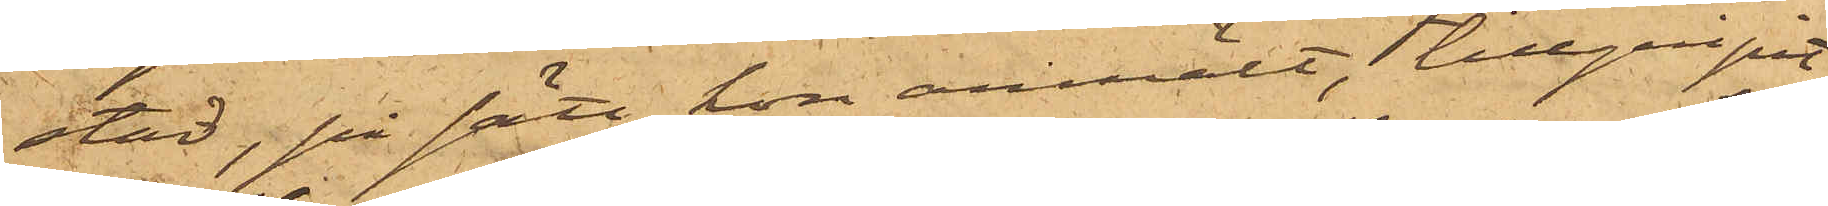stad, på sätt hon anmält, tillgripit
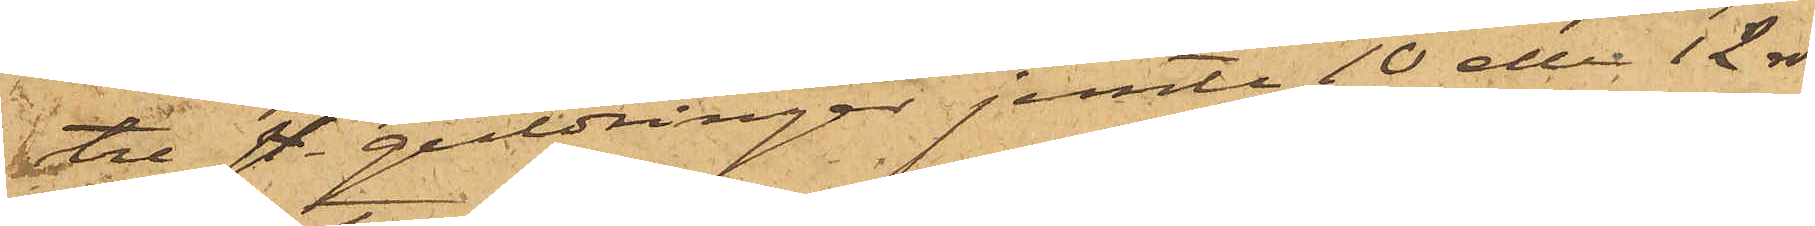tre sty. guldringar jemte 10 eller 12 rdr
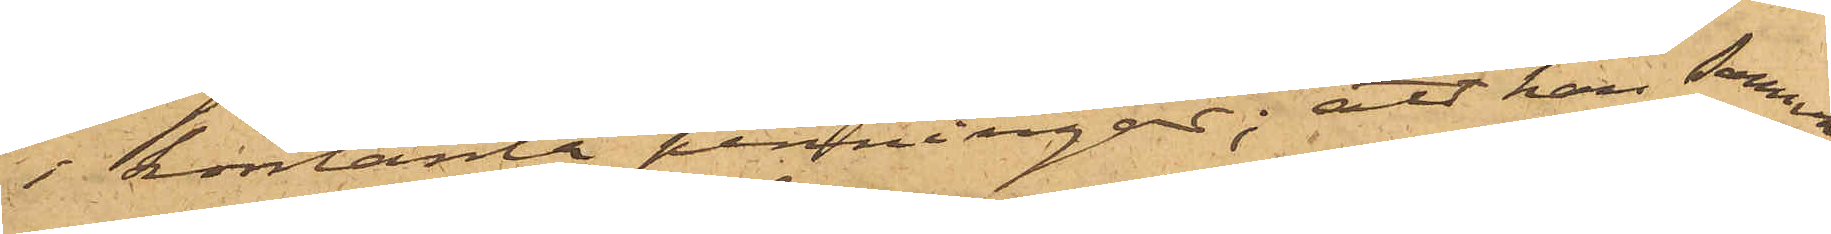i kontanta penningar; att han samma
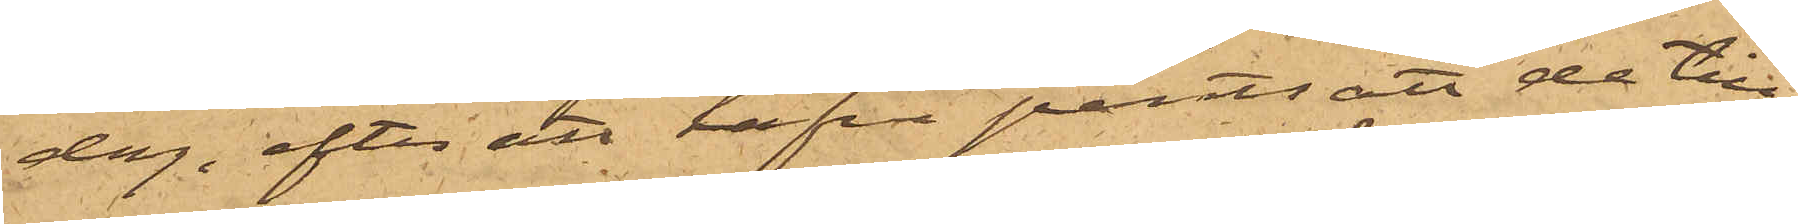dag, efter att hafva pantsatt de till¬
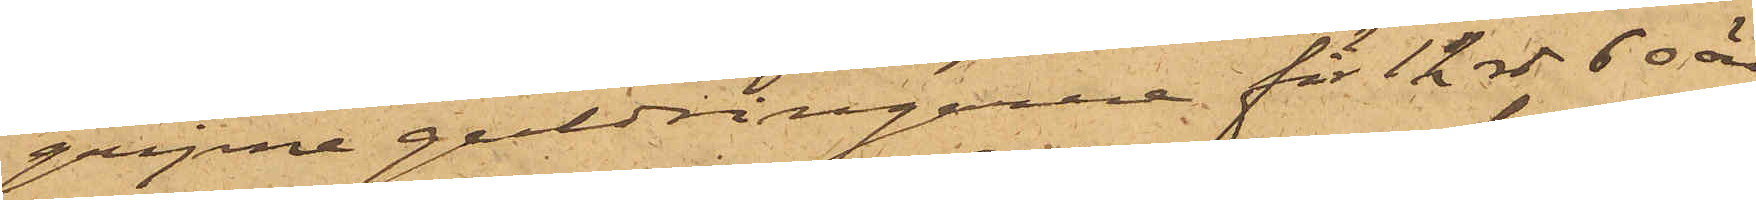gripne guldringarne för 12 rdr 60 öre
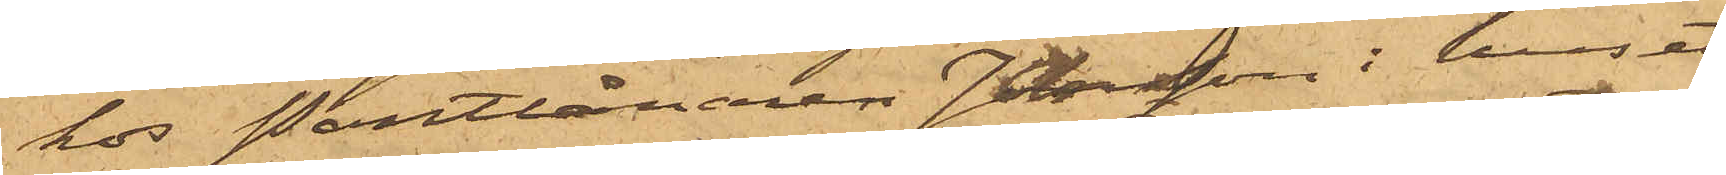hos Pantlånaren Jansson i huset
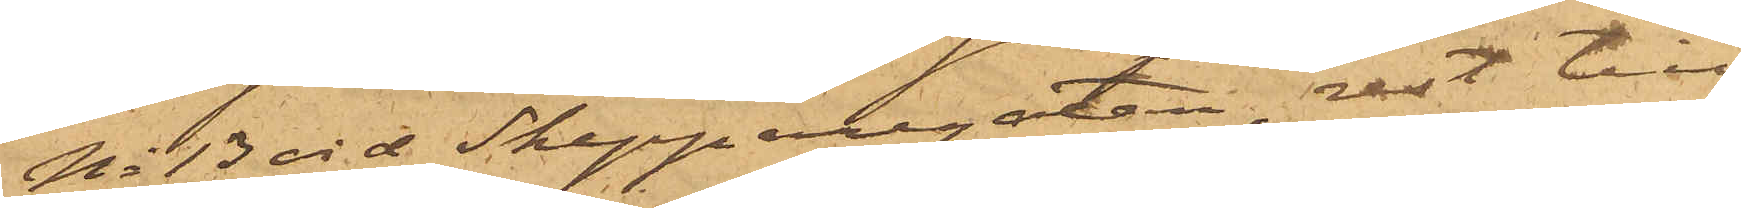No 13 vid Skepparegatan, rest till
